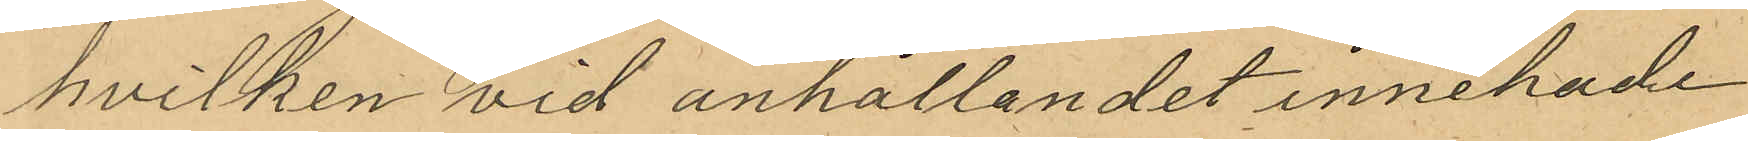hvilken vid anhållandet innehade
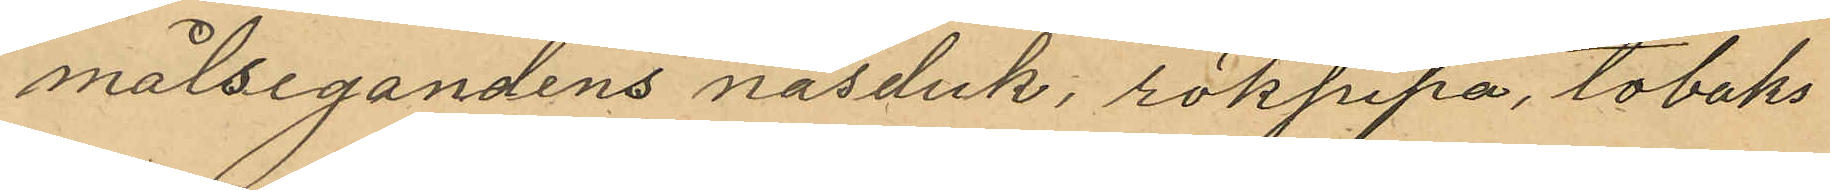målsegandens näsduk, rökpipa, tobaks¬
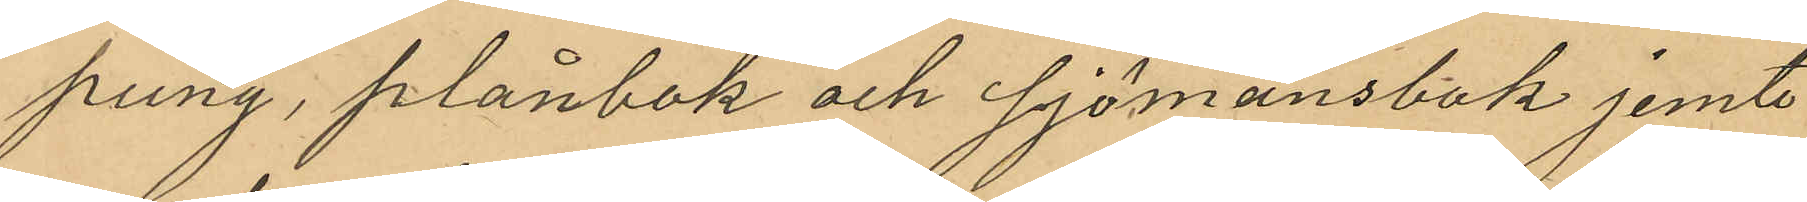pung, plånbok och sjömansbok jemte
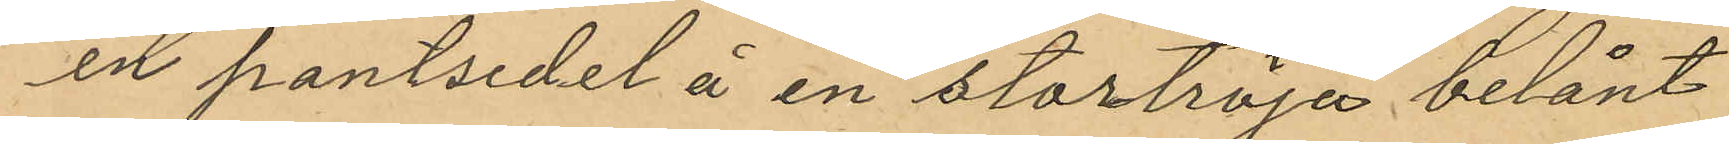en pantsedel å en stortröja belånt
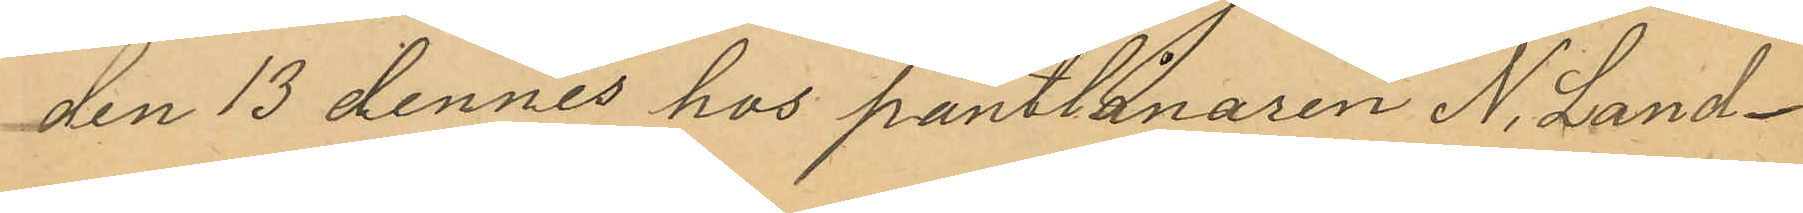den 13 dennes hos pantlånaren N. Land¬
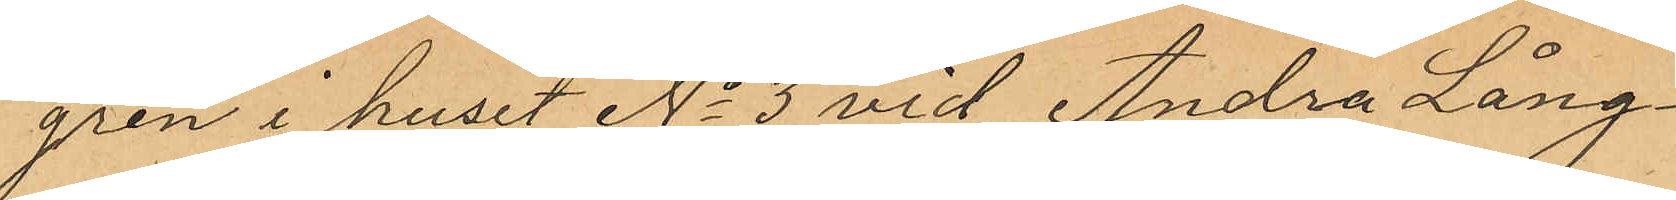gren i huset No 3 vid Andra Lång¬
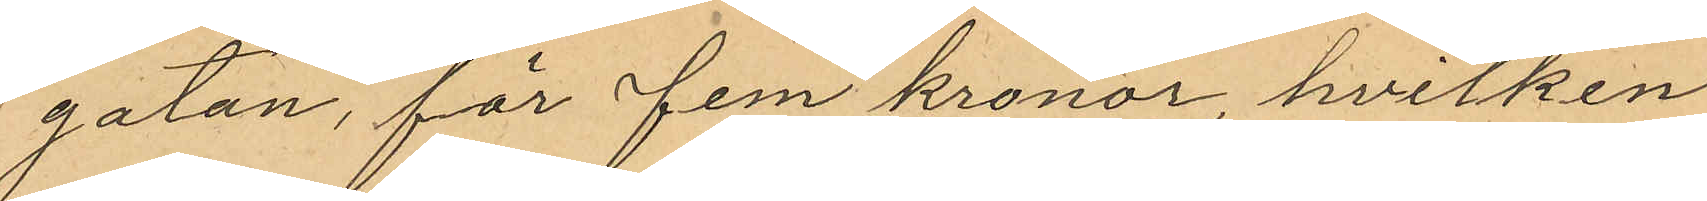gatan, för fem kronor, hvilken
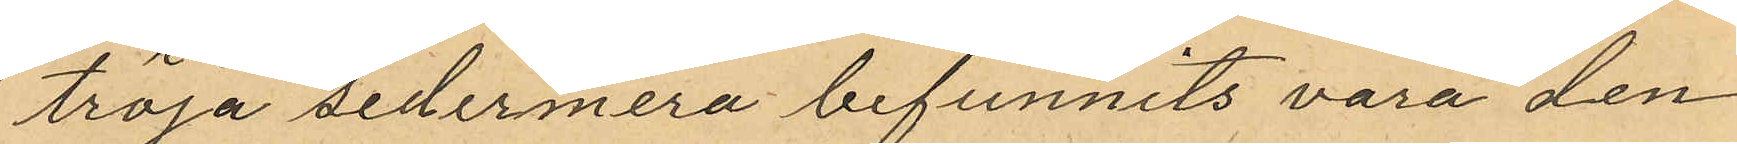tröja sedermera befunnits vara den
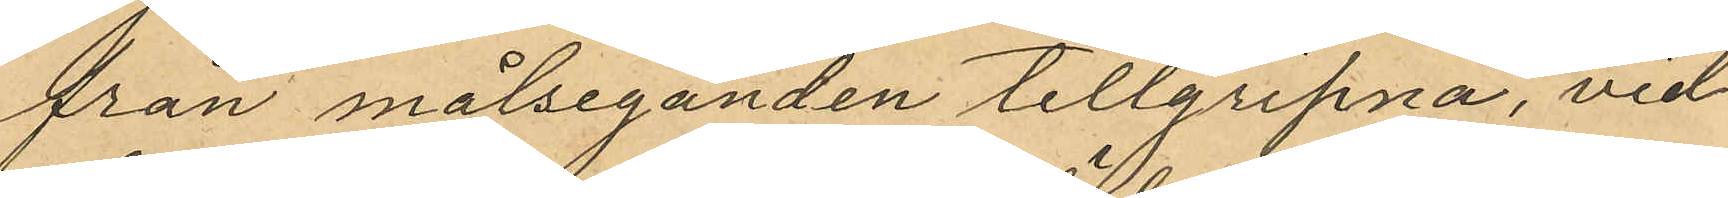från målseganden tillgripna, vid
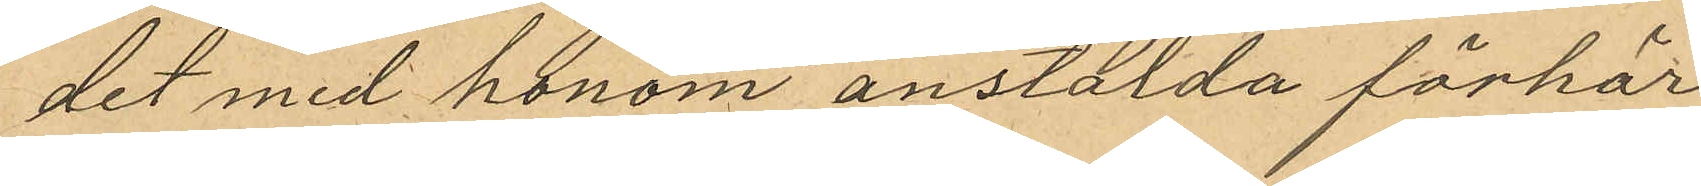det med honom anstälda förhör
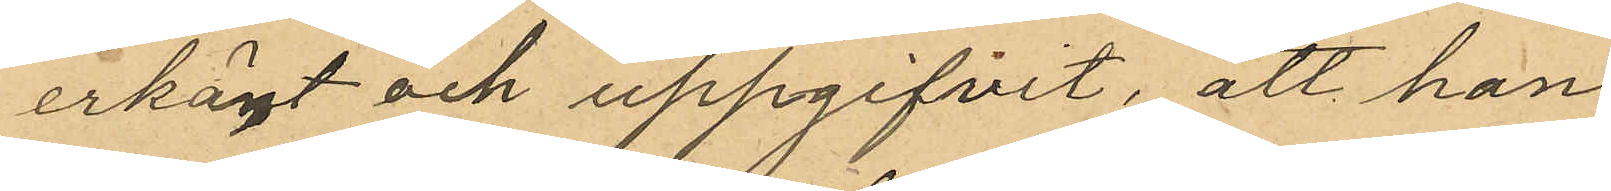erkänt och uppgifvit, att han
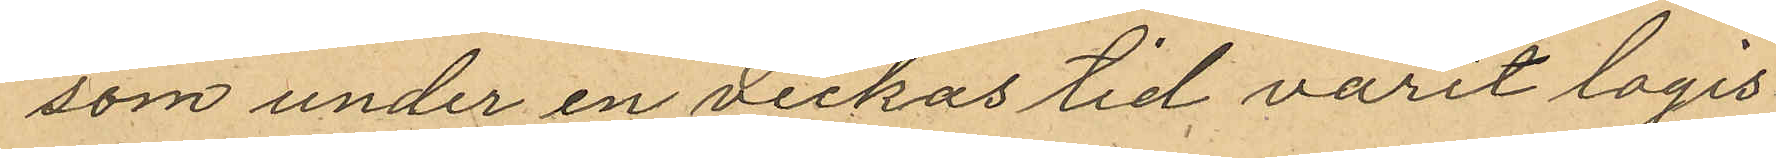som under en veckas tid varit logis¬
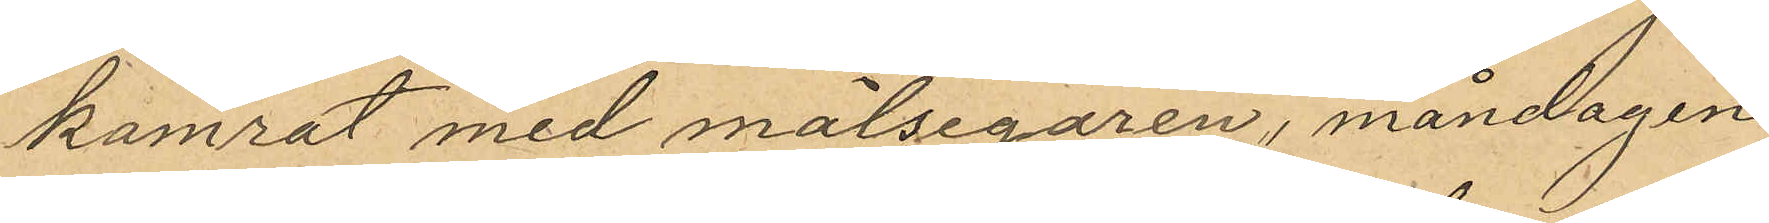kamrat med målsegaren, måndagen
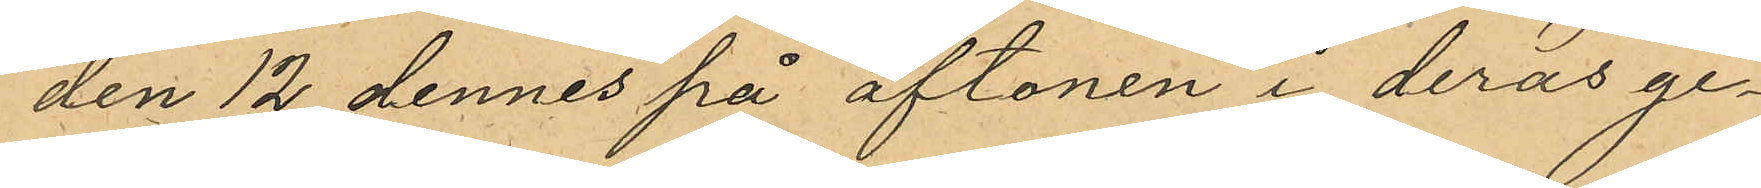den 12 dennes på aftonen i deras ge¬
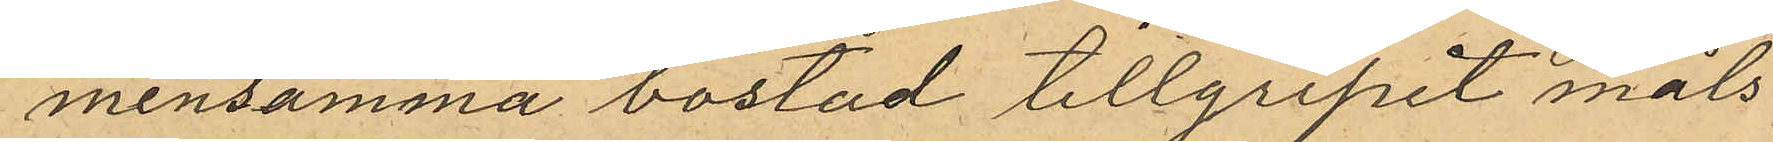mensamma bostad tillgripit måls¬
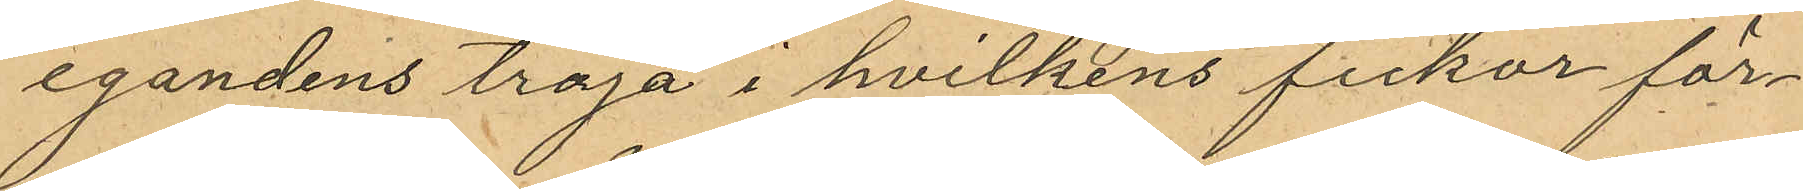egandens tröja i hvilkens fickor för¬
